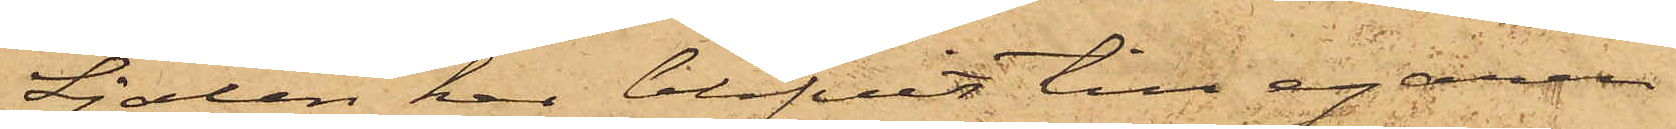Sjalen har blifvit till egaren
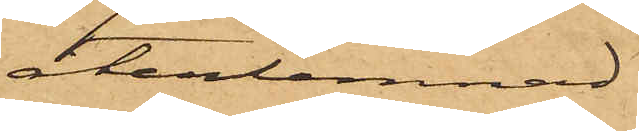återlemnad.
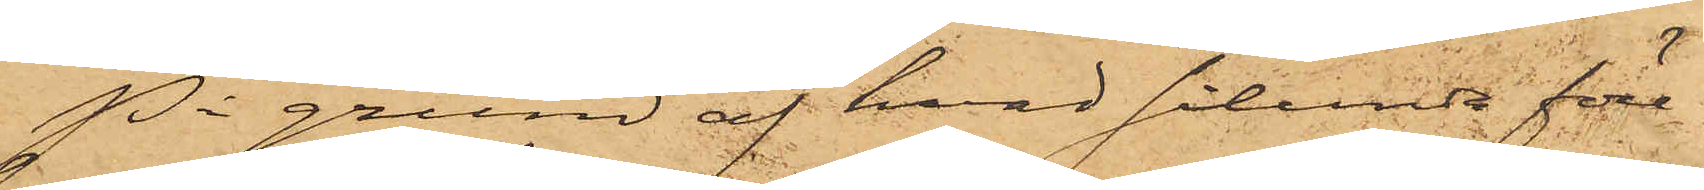På grund af hvad sålunda före¬
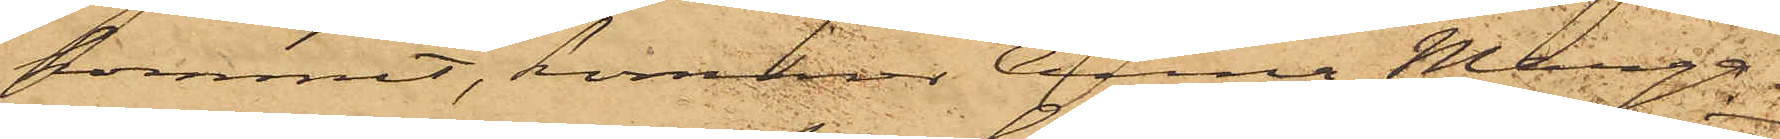kommit, kommer Anna Marga¬
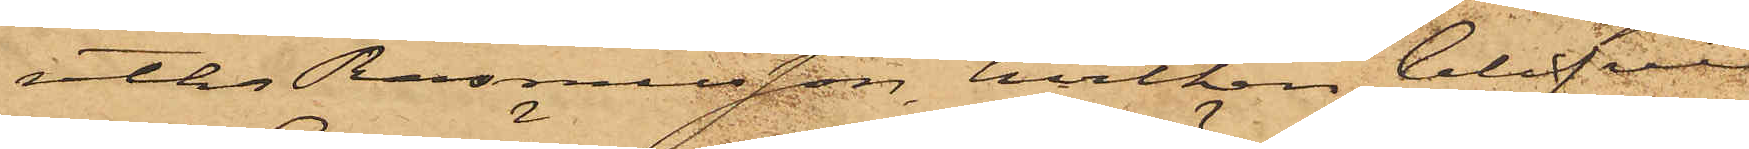retha Rasmusson, hvilken blifvit
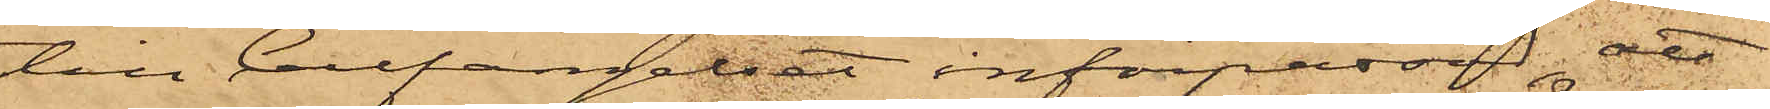till Cellfängelset införpassad, att
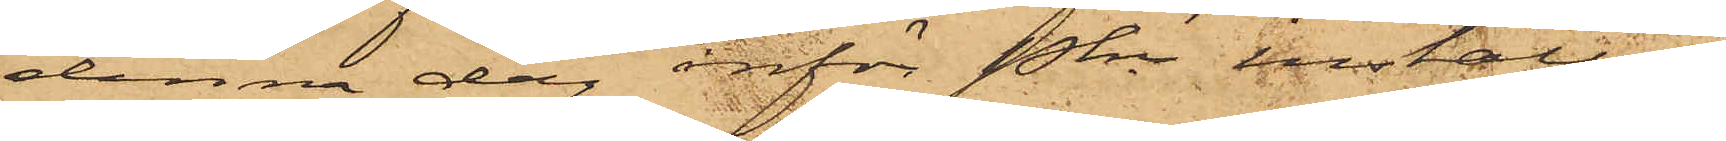denna dag inför Pkn inställas.
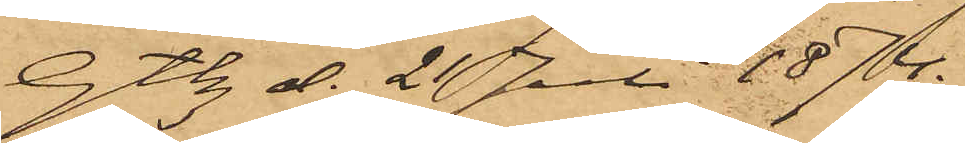Gtbg d. 21 Juli 1874.
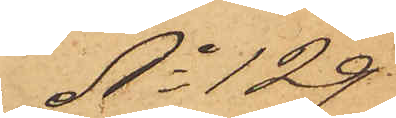No 129
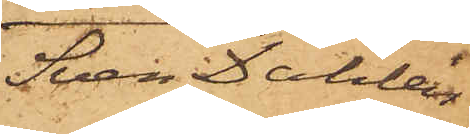Sven Dahlén
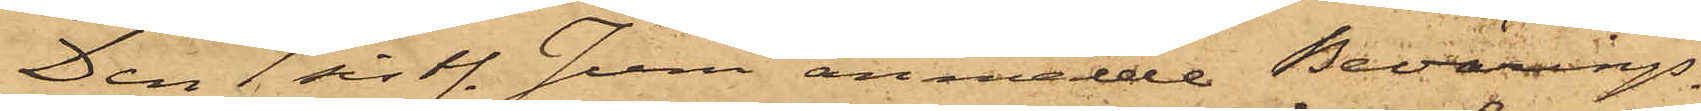Den 1 sist. Juni anmälde Bevärings¬
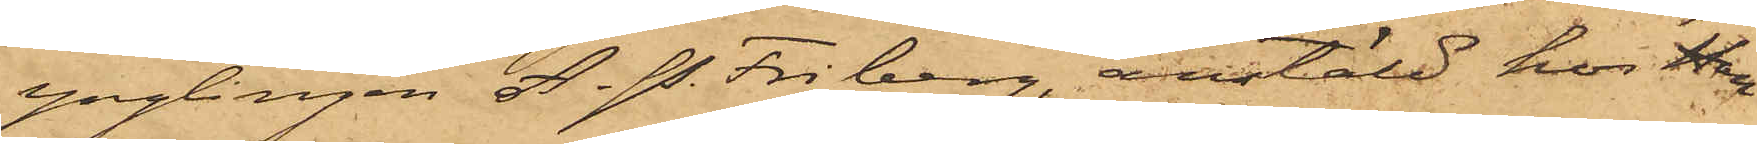ynglingen A. P. Friberg, anstäld hos Han¬
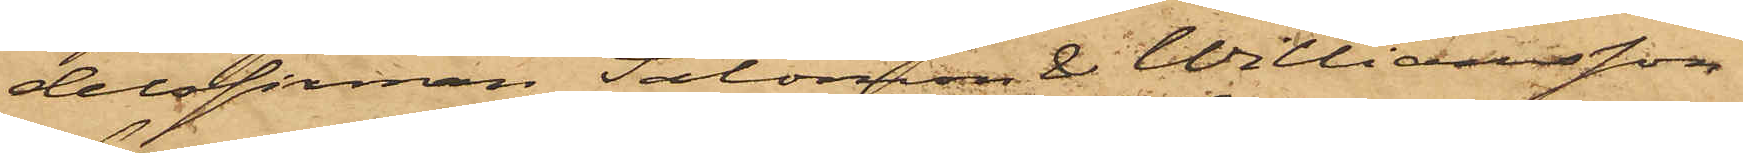delsfirman Salomon & Williamsson
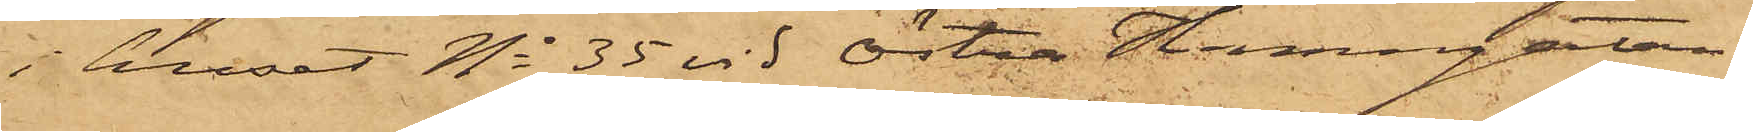i huset No 35 vid Östra Hamngatan
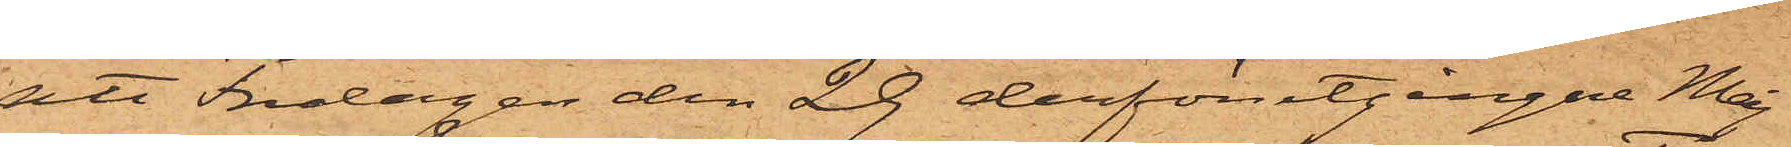att Fredagen den 29 derförutgångne Maj
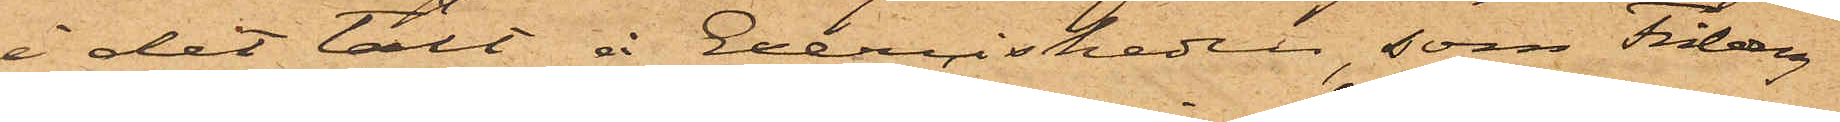i det tält å Exercisheden, som Friberg
